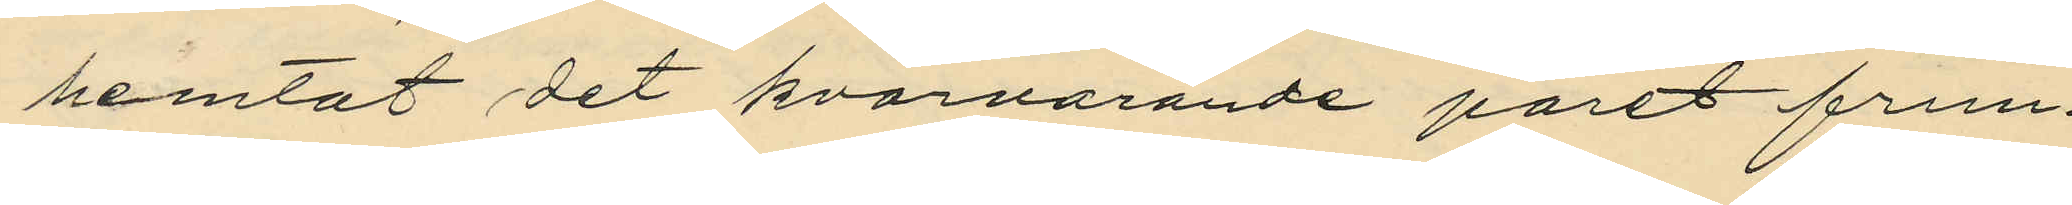hemtat det kvarvarande paret frun¬
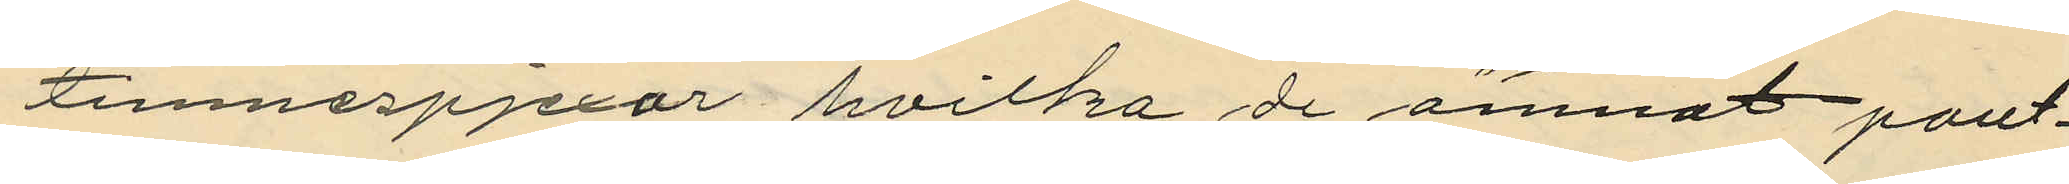timnespjexor hvilka de ämnat pant¬
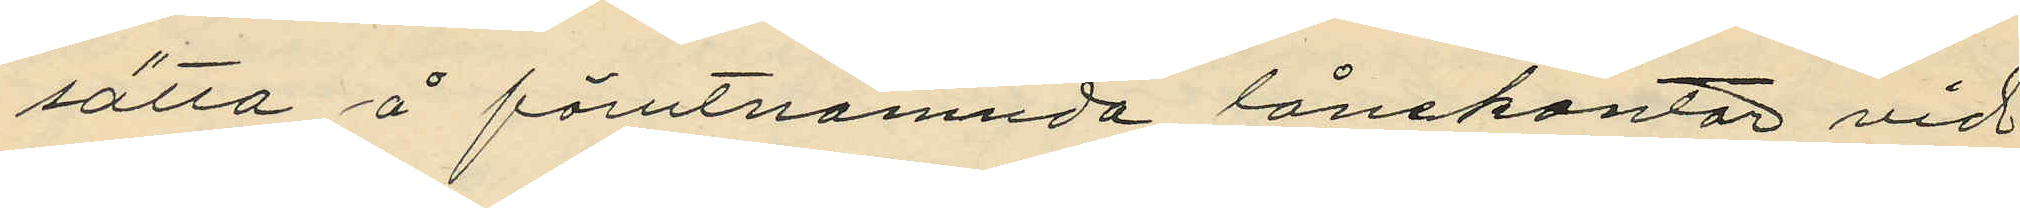sätta å förutnämnda lånekontor vid
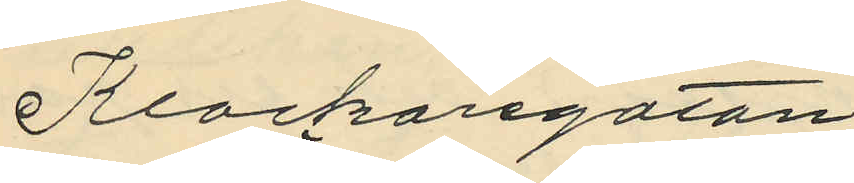Klockaregatan
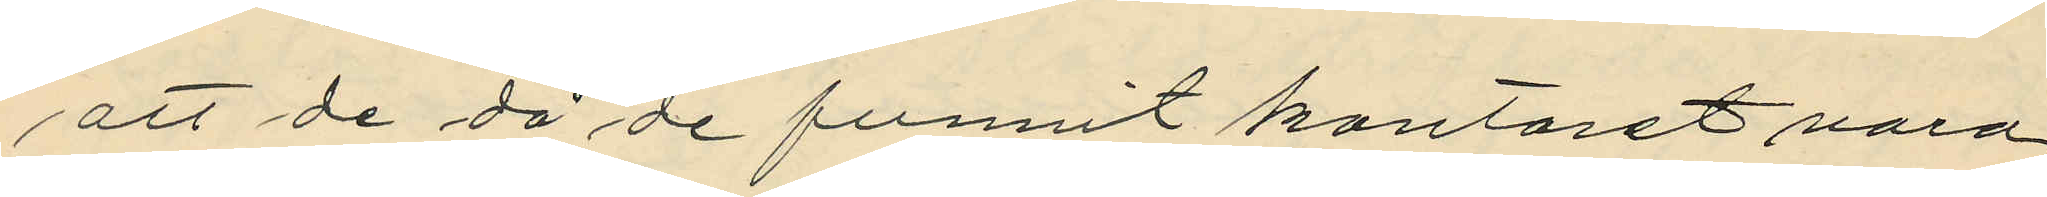att de då de funnit kontoret vara
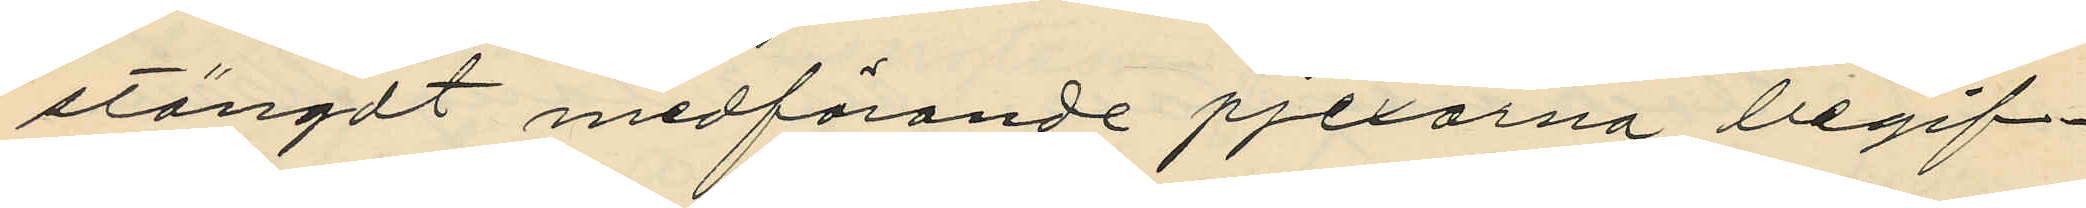stängdt medförande pjexorna begif¬
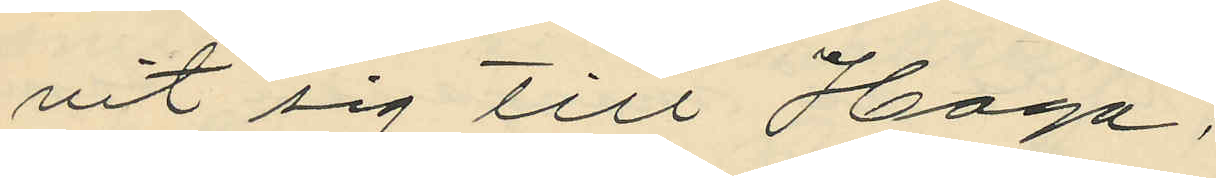vit sig till Haga;
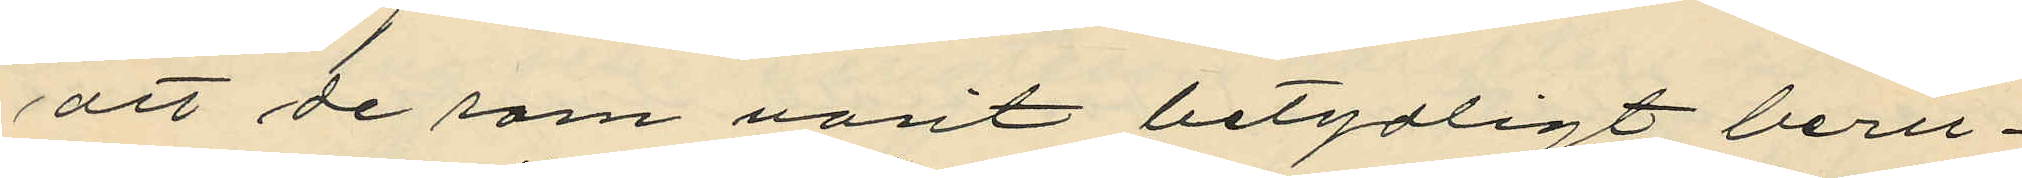att de som varit betydligt beru¬
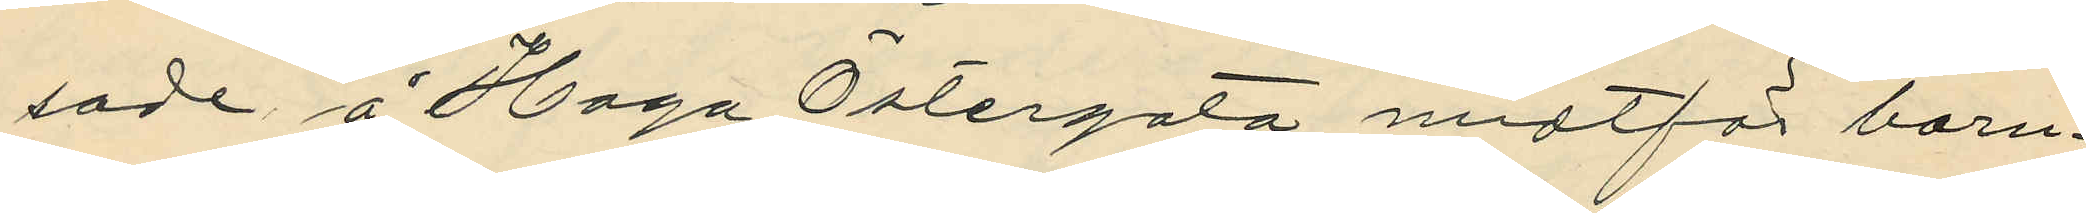sade å Haga Östergata midtför barn¬
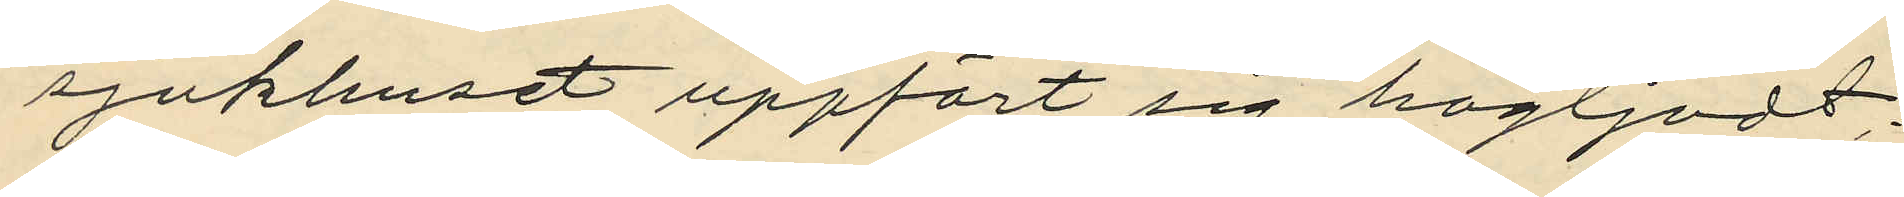sjukhuset uppfört sig högljudt;
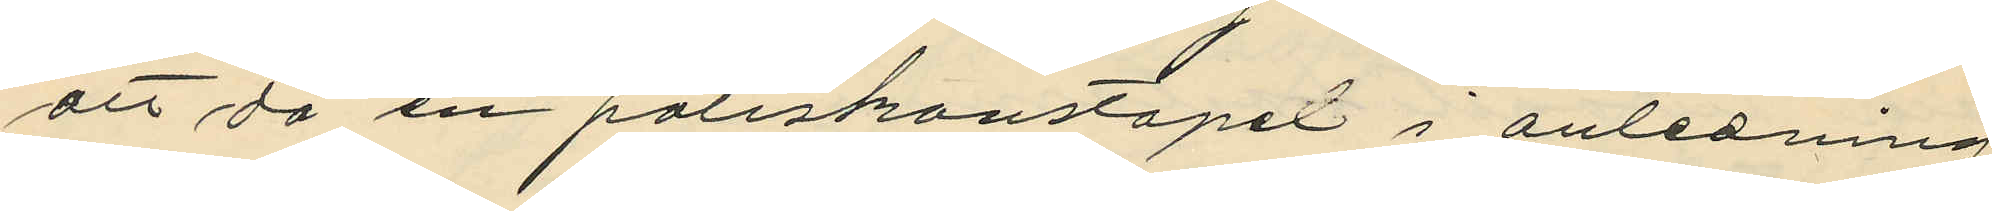att då en poliskonstapel i anledning
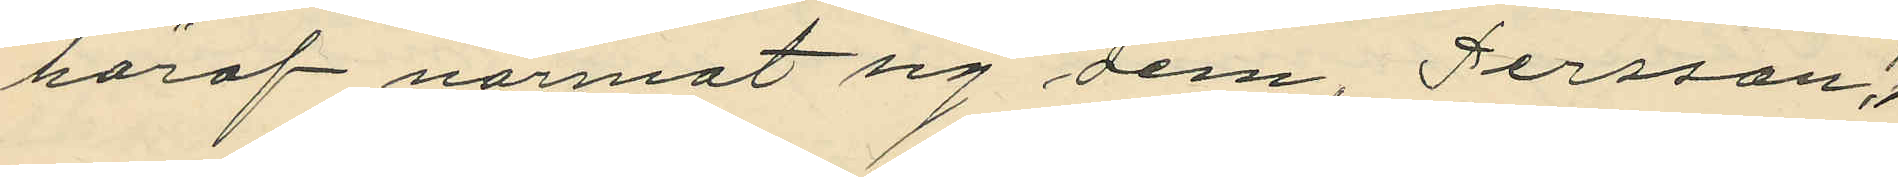häraf närmat sig dem, Persson,
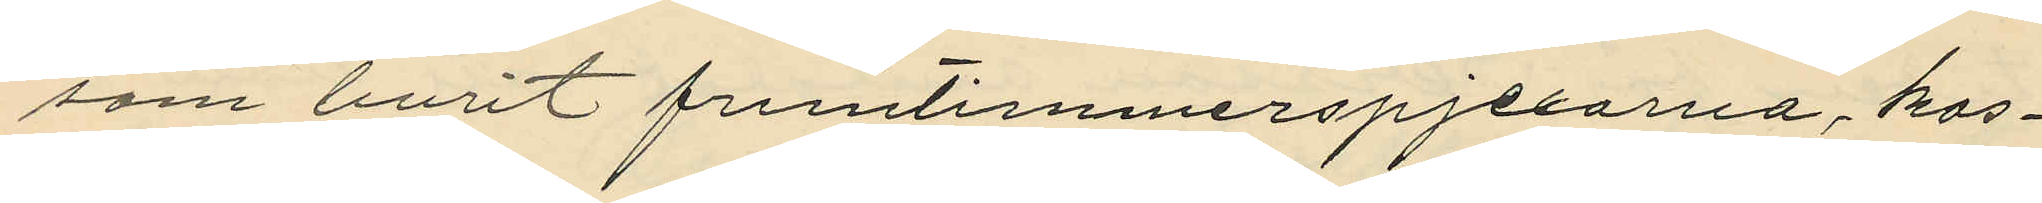som burit fruntimmerspjexorna, kas¬
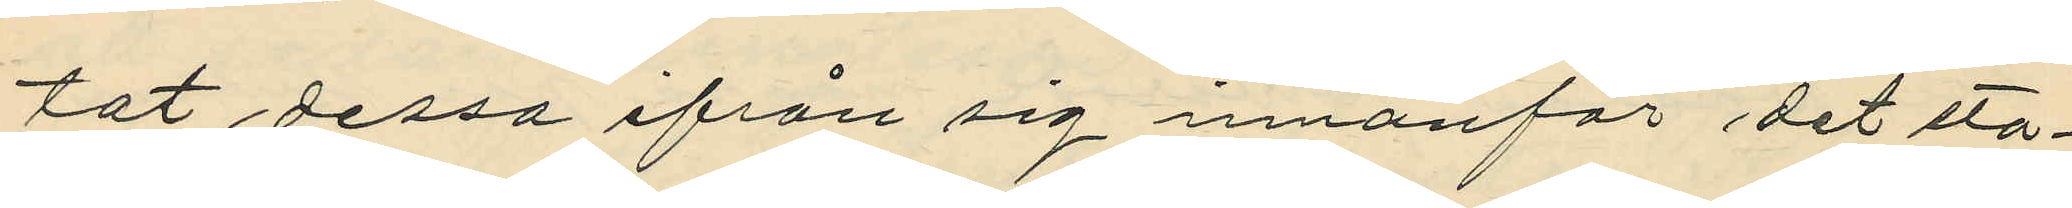tat dessa ifrån sig innanför det sta¬
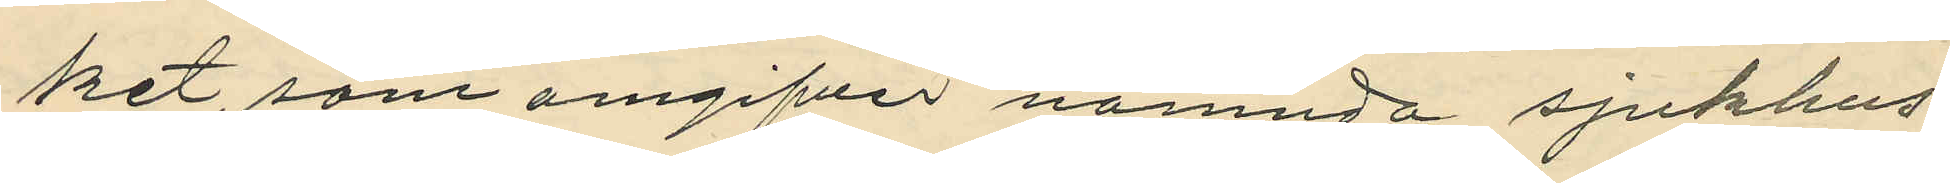ket, som omgifver nämnda sjukhus;
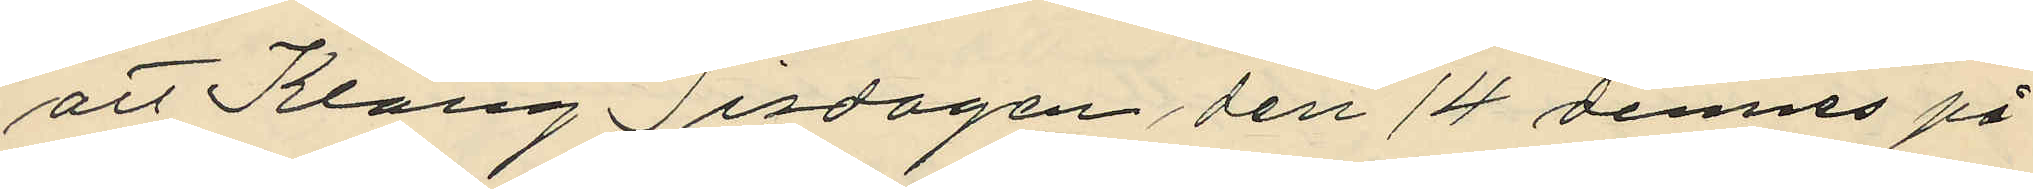att Klang Tisdagen den 14 dennes på
